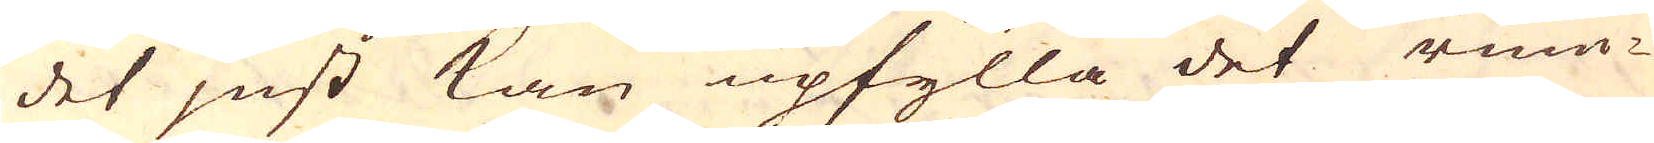det just kan upfylla det rum-
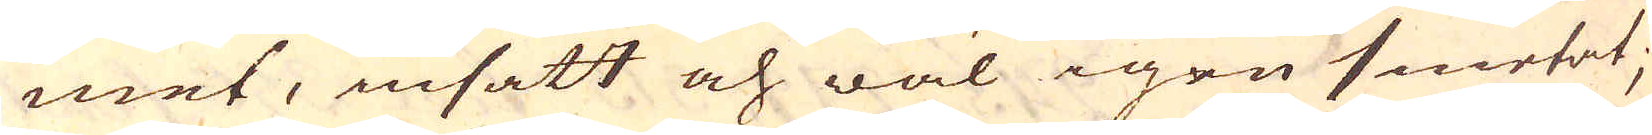met, insatt och wäl igen smetat;
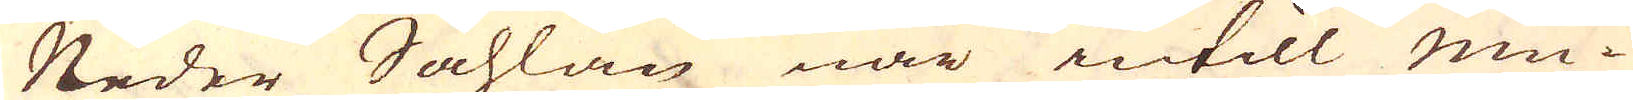Neder Såhlan när intill mu-
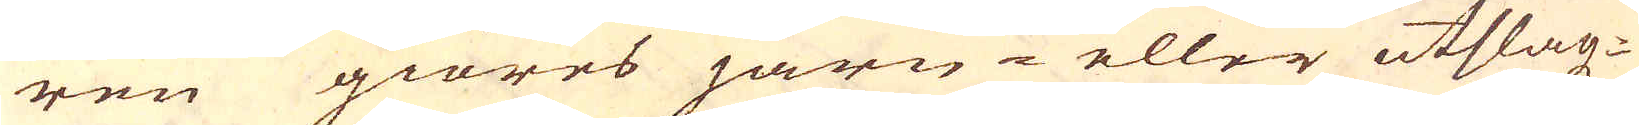ren giöres järn- eller utslagz-
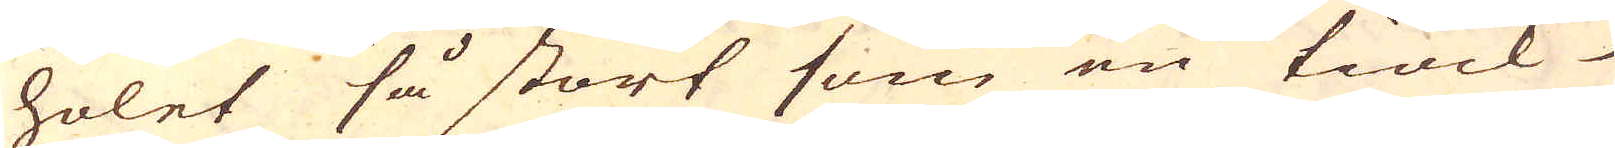holet så stort som en tiock
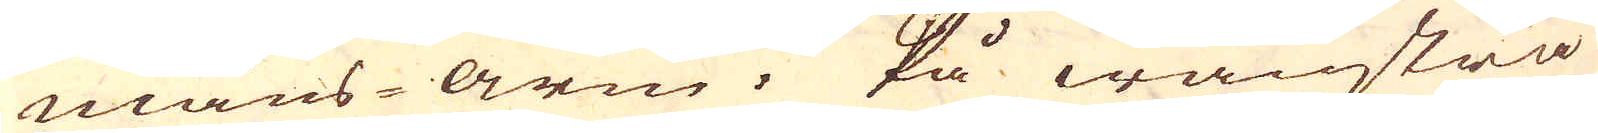man-arm. På wänstra
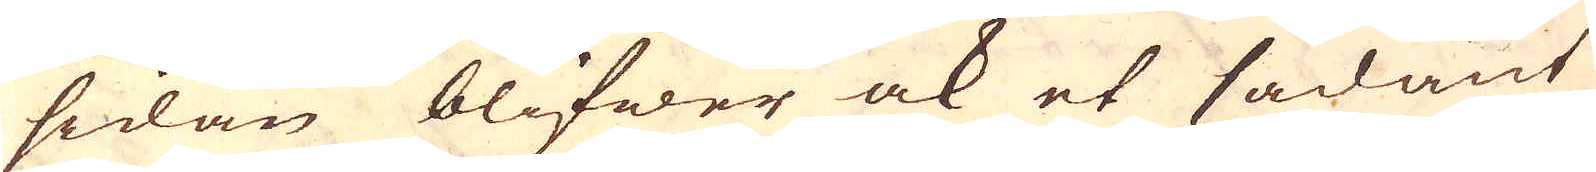sidan blifwer ock et sådant
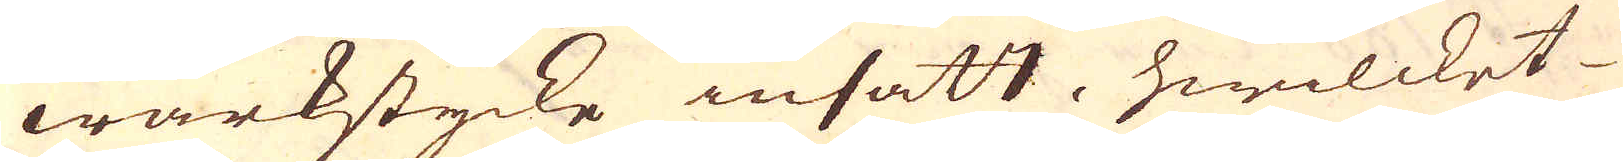wärkstycke insatt, hwilcket
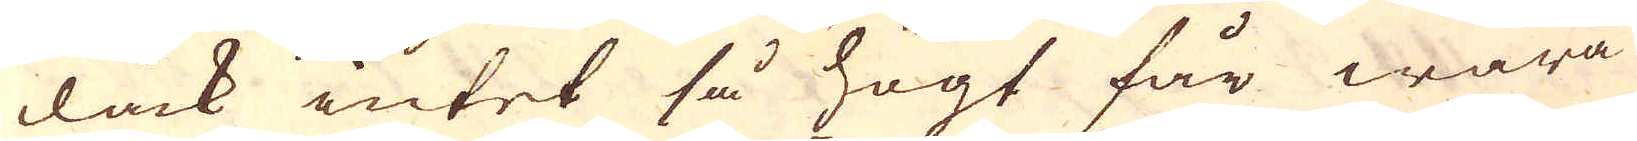dåck intet så högt får wara
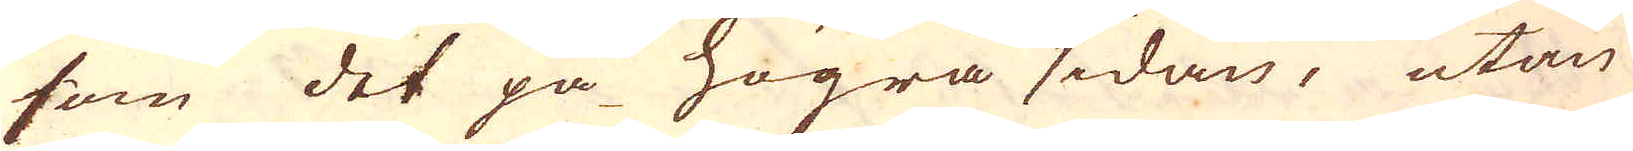som det på högra sidan, utan
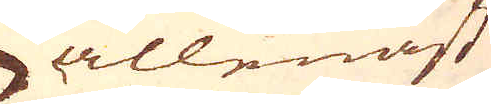allenast
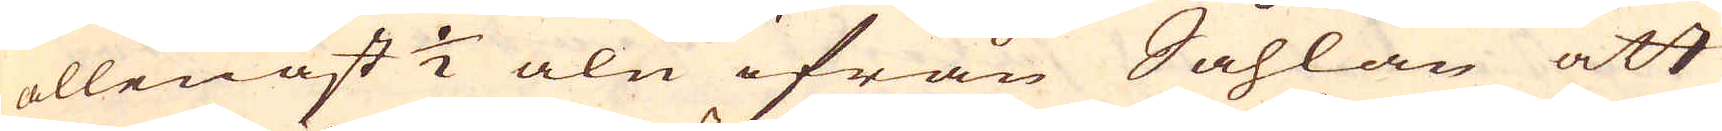allenast 1/2 aln ifrån Såhlan att
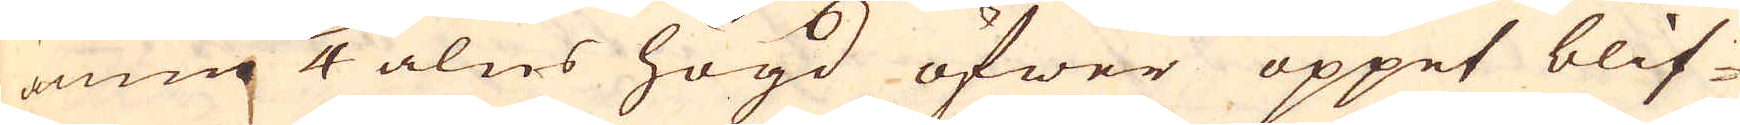ännu 1/4 alns högd öfwer öppet blif-
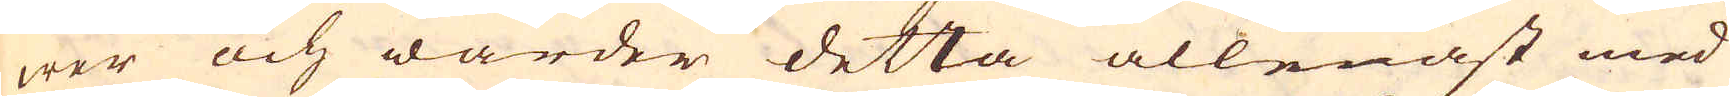wer och warder detta allenast med
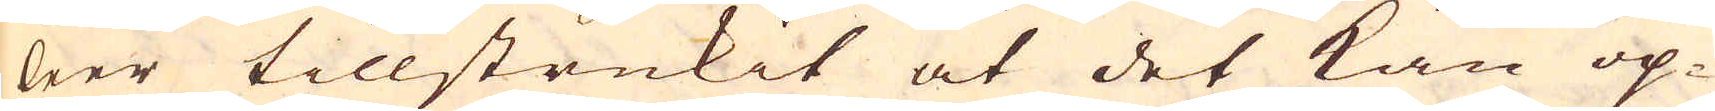leer tillstrukit at det kan op-
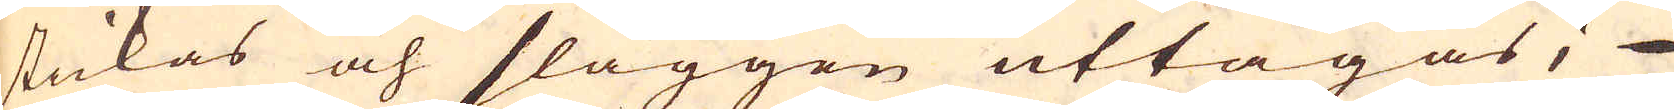stickas och slaggen uttagas;
